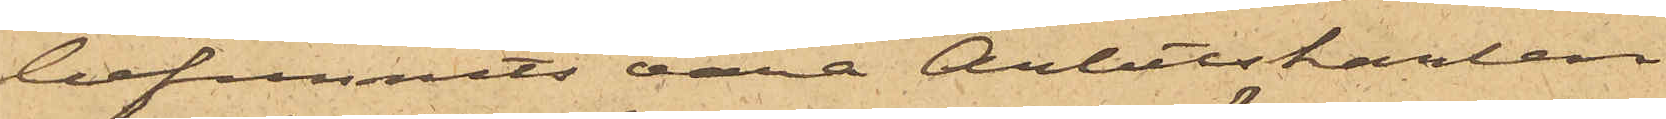befunnits vara Arbetskarlen
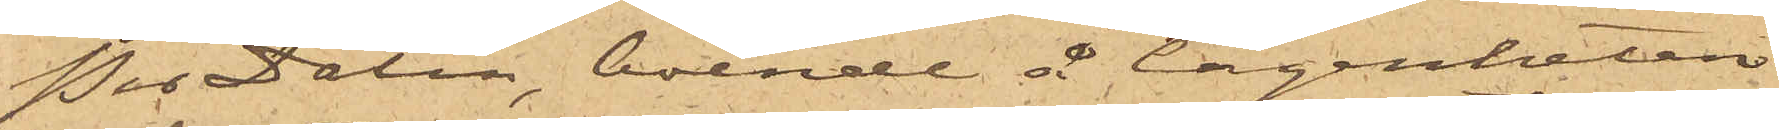Per Dalin, boende å lägenheten
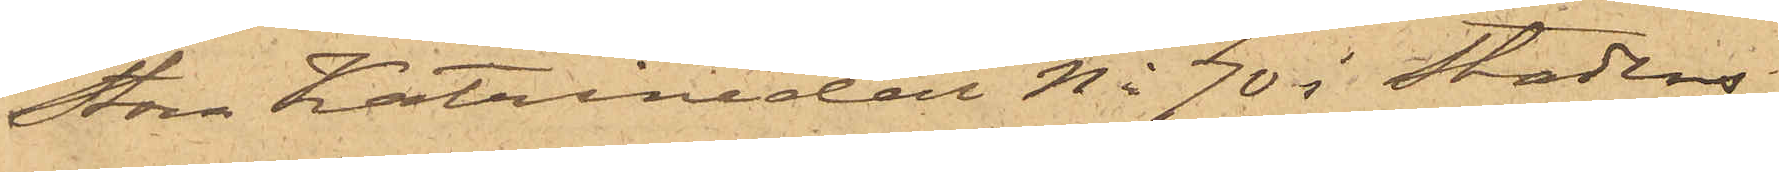Stora Katrinedal No 70 i Stadens
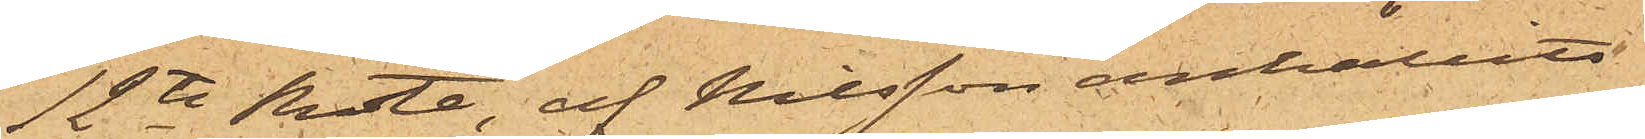12te Rote, af Nilsson anhållits.
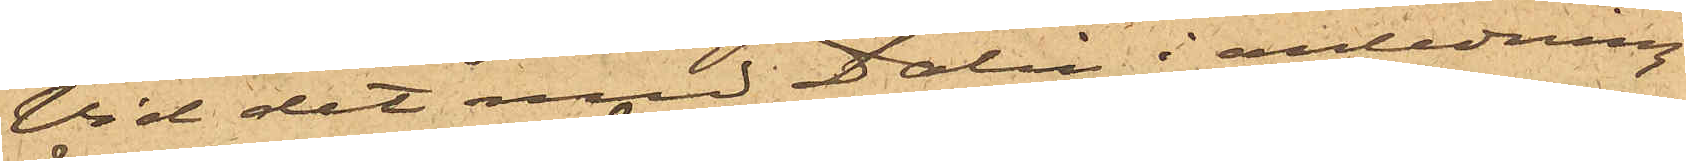Vid det med Dalin i anledning
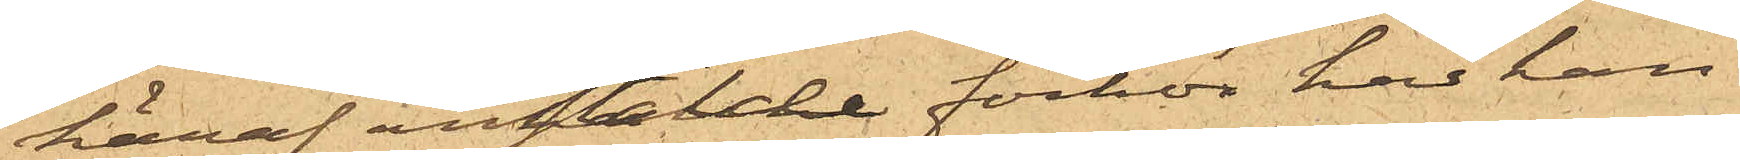häraf anstälde förhör har han
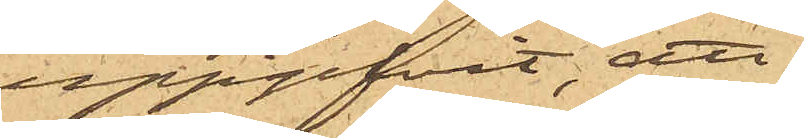uppgifvit, att
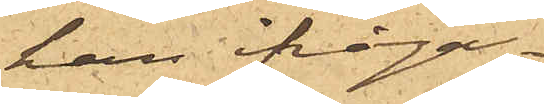han ifråga¬
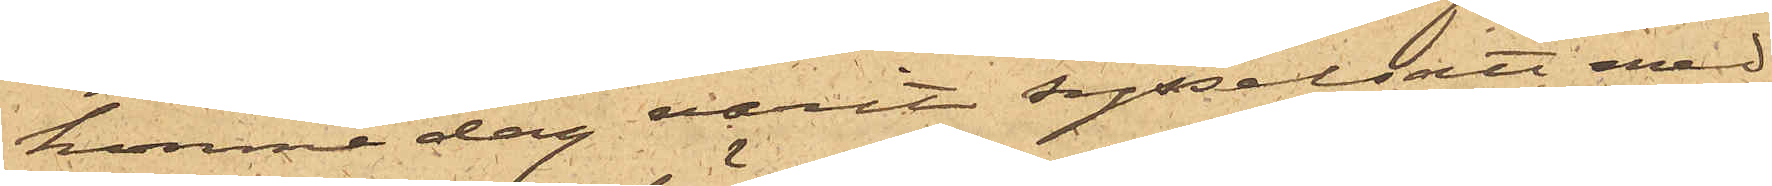komne dag varit sysselsatt med
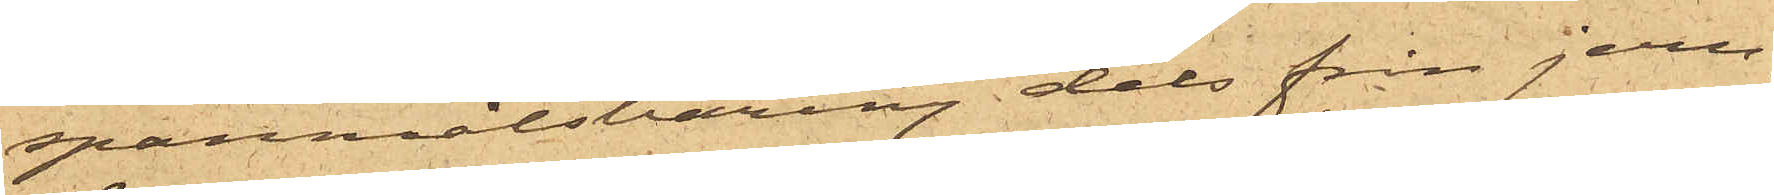spanmålsbäring dels från jern¬
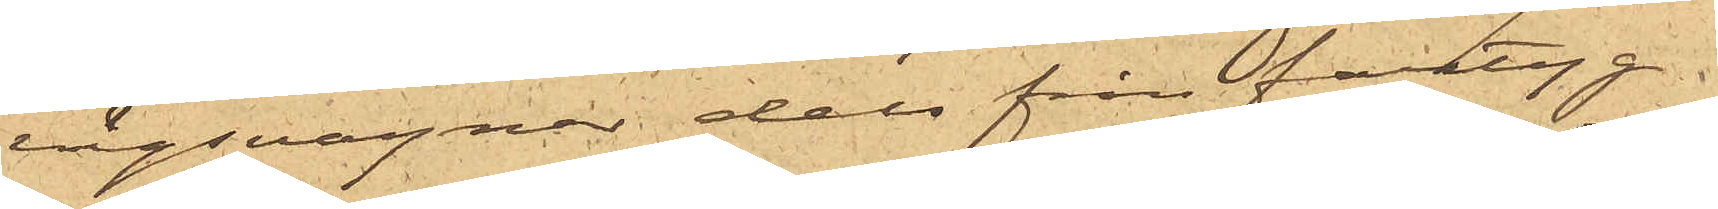vägsvagnar dels från fartyg
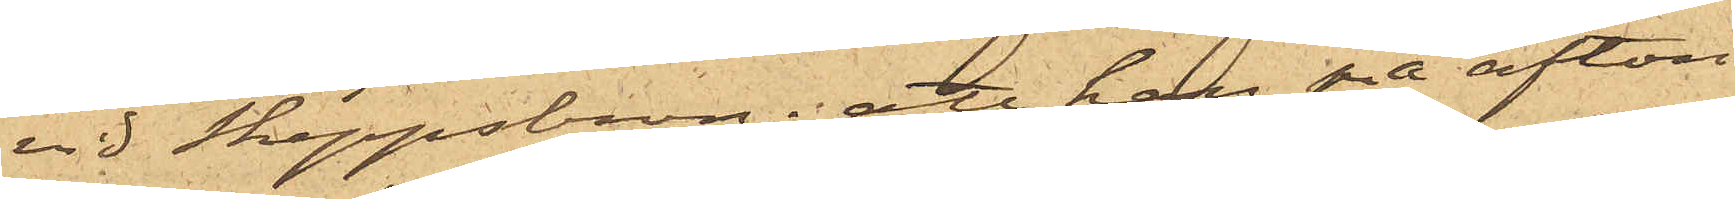vid Skeppsbron; att han på afton
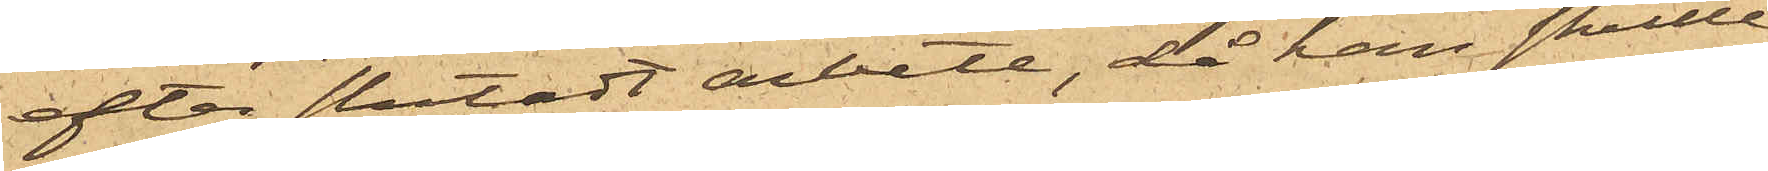efter slutadt arbete, då han skulle
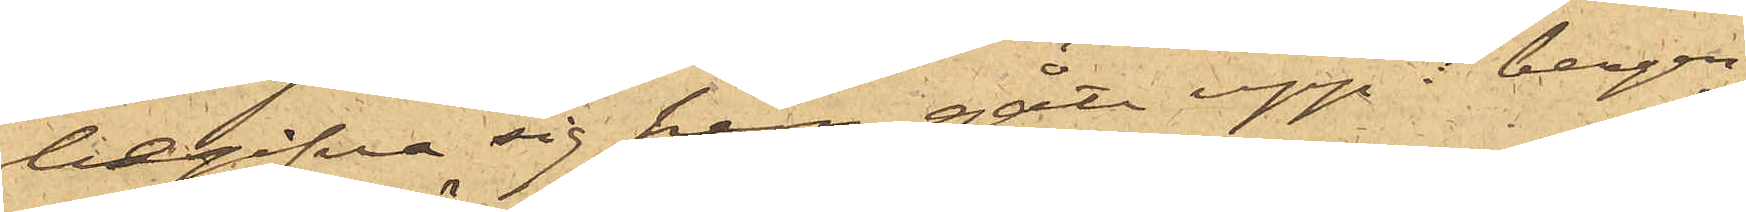begifva sig hem, gått upp i bergen
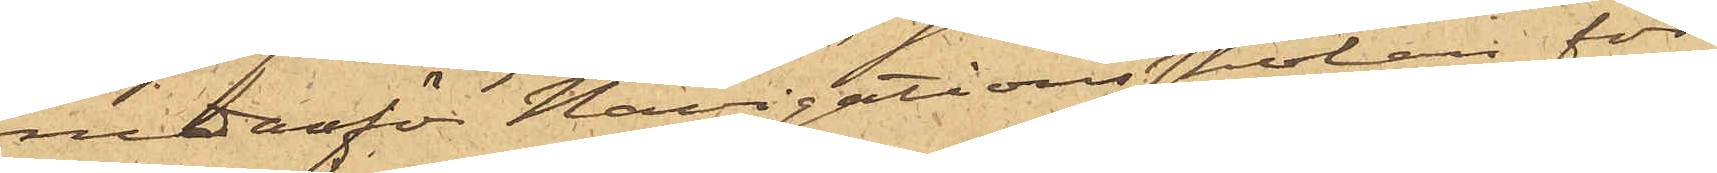nedanför Navigationsskolan för
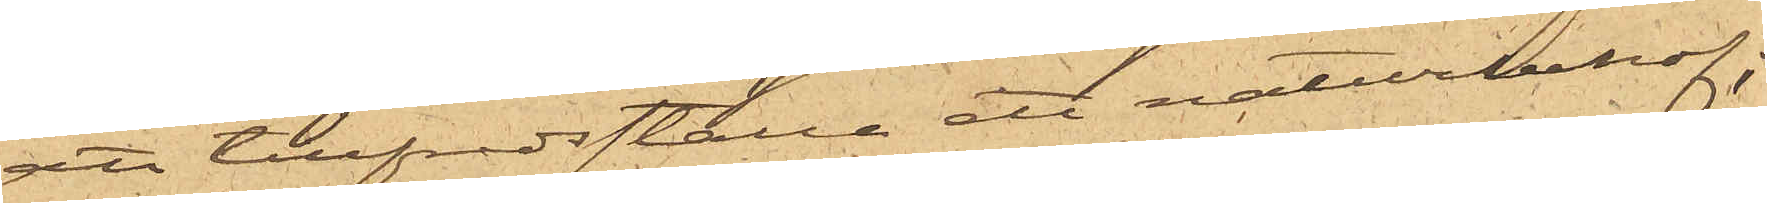att tillfredsställa ett naturbehof;
